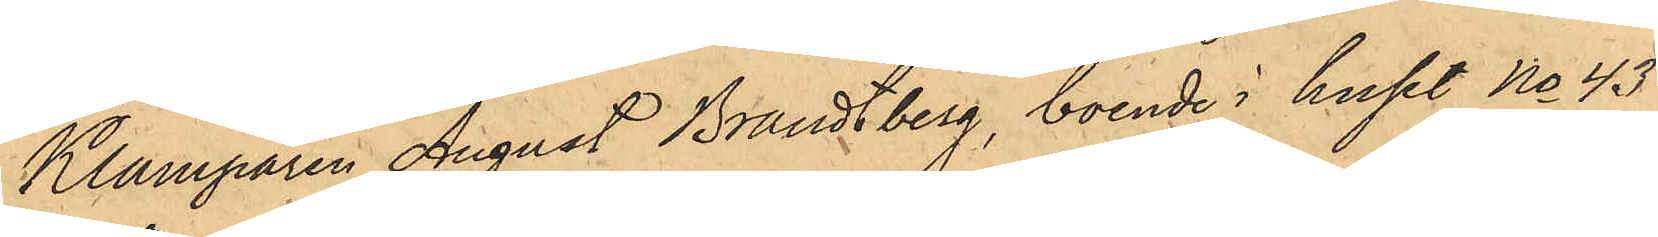Klamparen August Brandtberg, boende i huset No 43
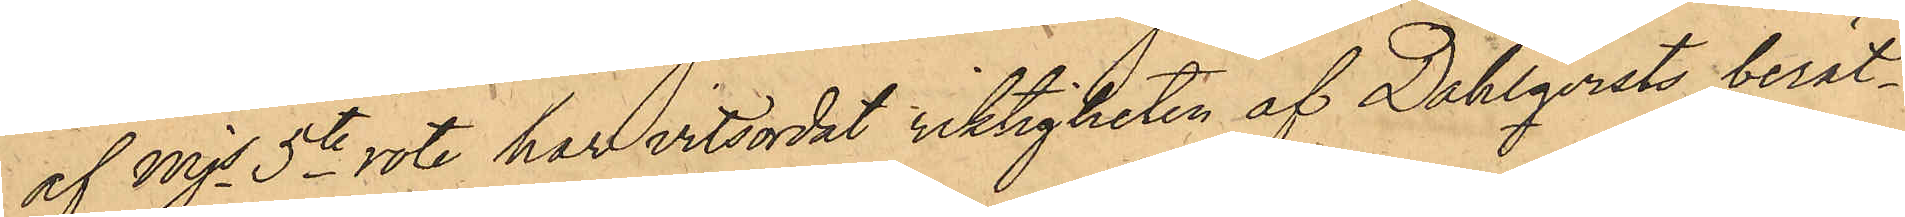af Mjs 5te rote, har vitsordat riktigheten af Dahlqvists berät¬
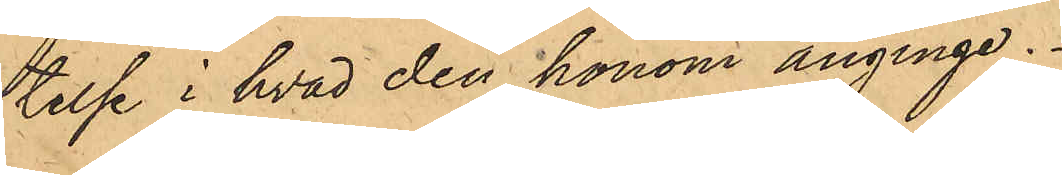telse i hvad den honom anginge.
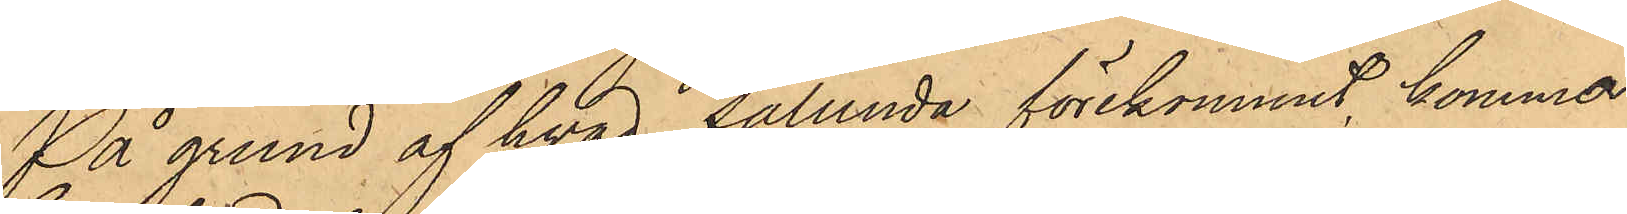På grund af hvad sålunda förekommit, komma
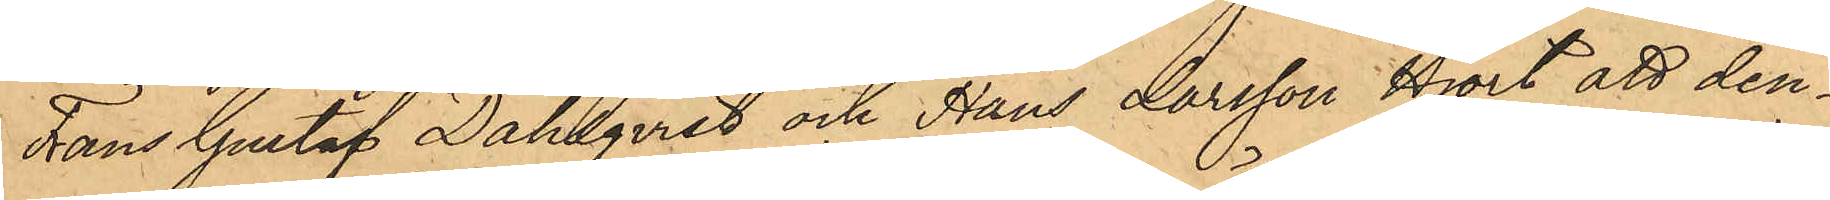Frans Gustaf Dahlqvist och Hans Larsson Hjort att den¬
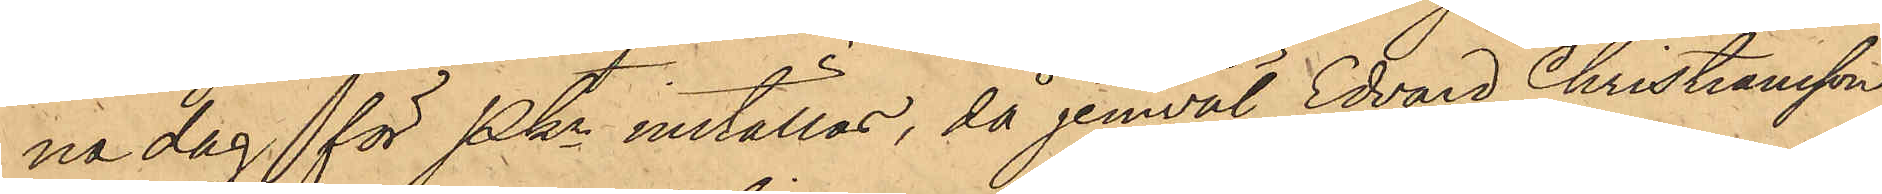na dag för Pkn inställas, då jemväl Edvard Christiansson
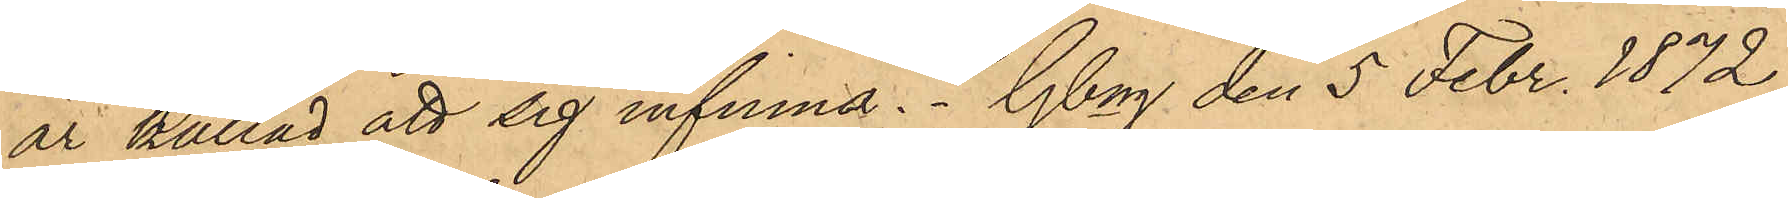är kallad att sig infinna. Gbg den 5 Febr. 1872
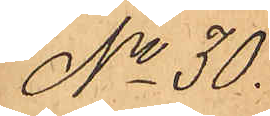No 30.
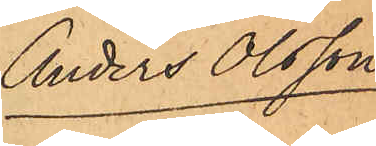Anders Olsson
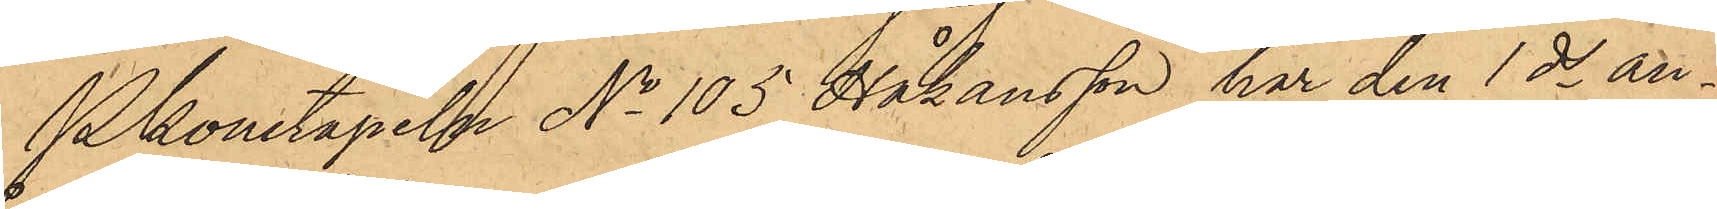Pkonstapeln No 105 Johansson har den 1 ds an¬
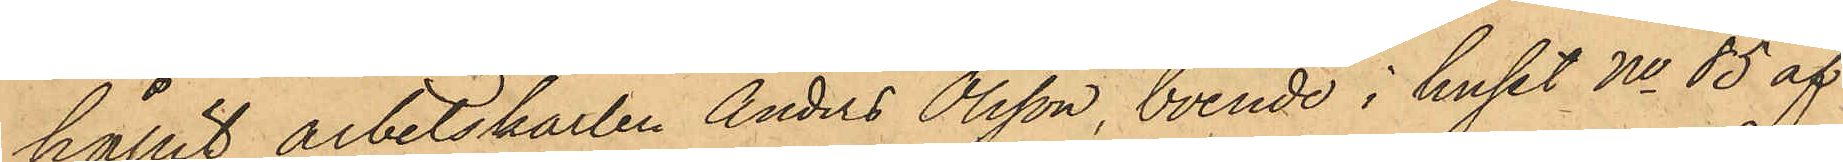hållit arbetskarlen Anders Olsson, boende i huset No 85 af
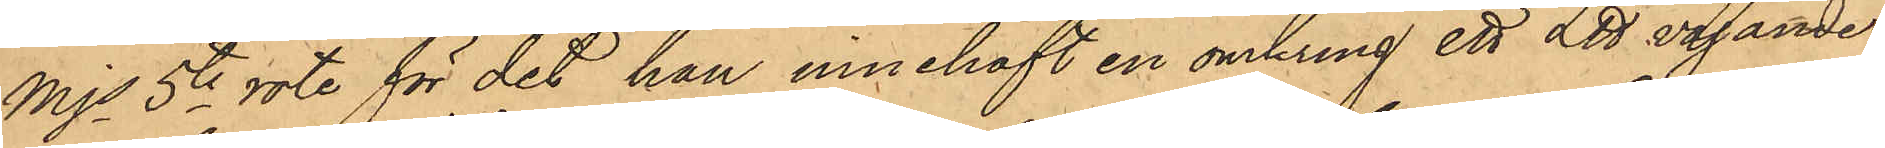Mjs 5te rote för det han innehaft en omkring ett L℔ vägande
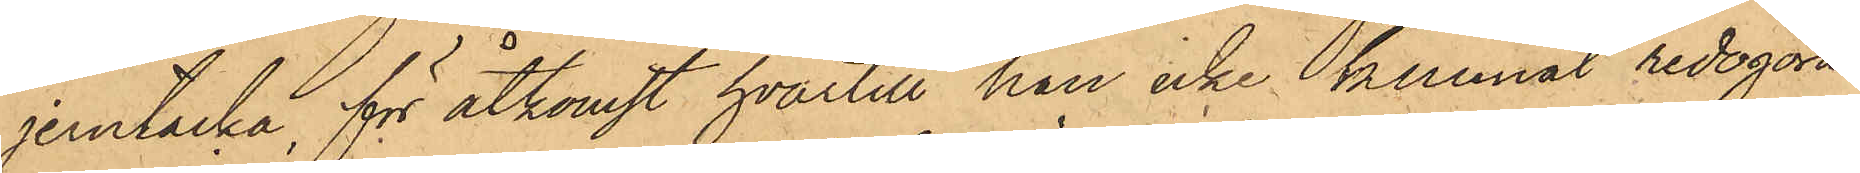jerntacka, för åtkomst hvartill han icke kunnat redogöra
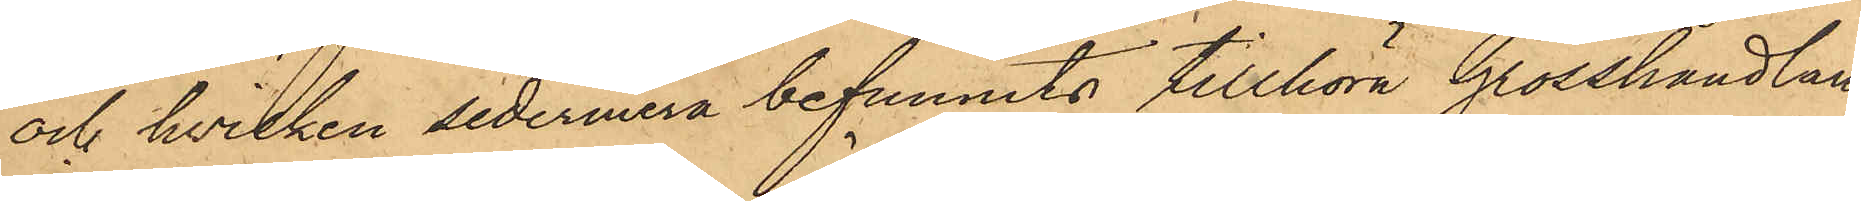och hvilken sedermera befunnits tillhöra Grosshandlan¬
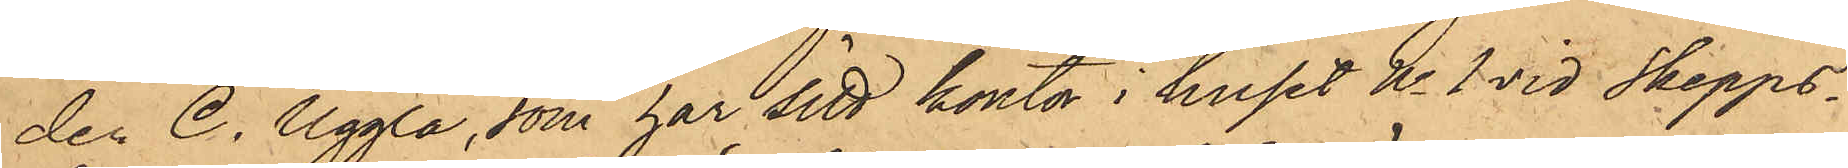den C. Uggla, som har sitt kontor i huset No 1 vid Skepps¬
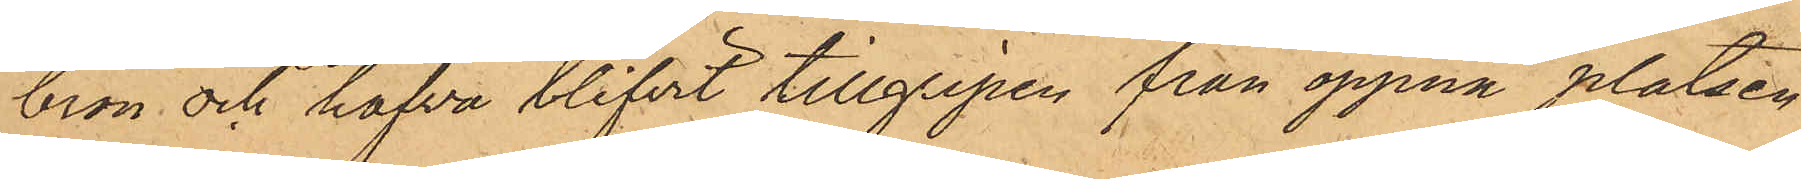bron och hafva blifvit tillgripen från öppna platsen
